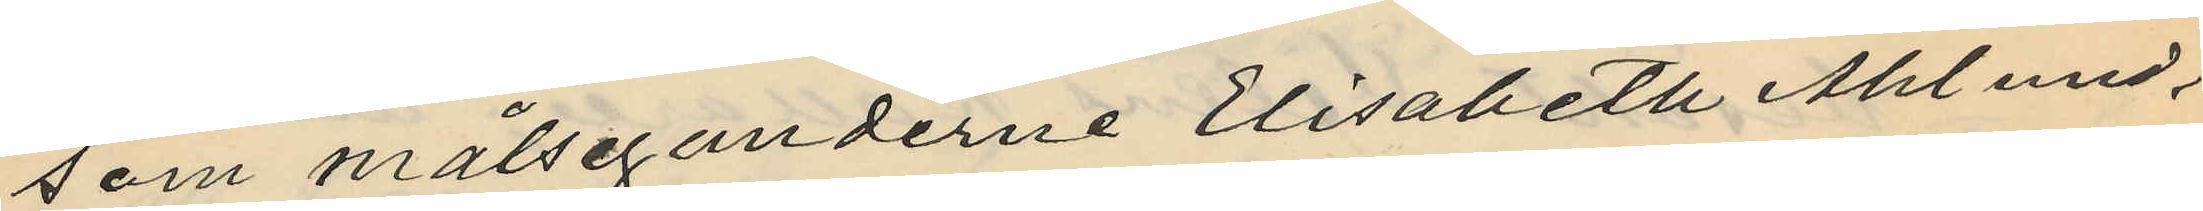som målseganderne Elisabeth Åhlund,
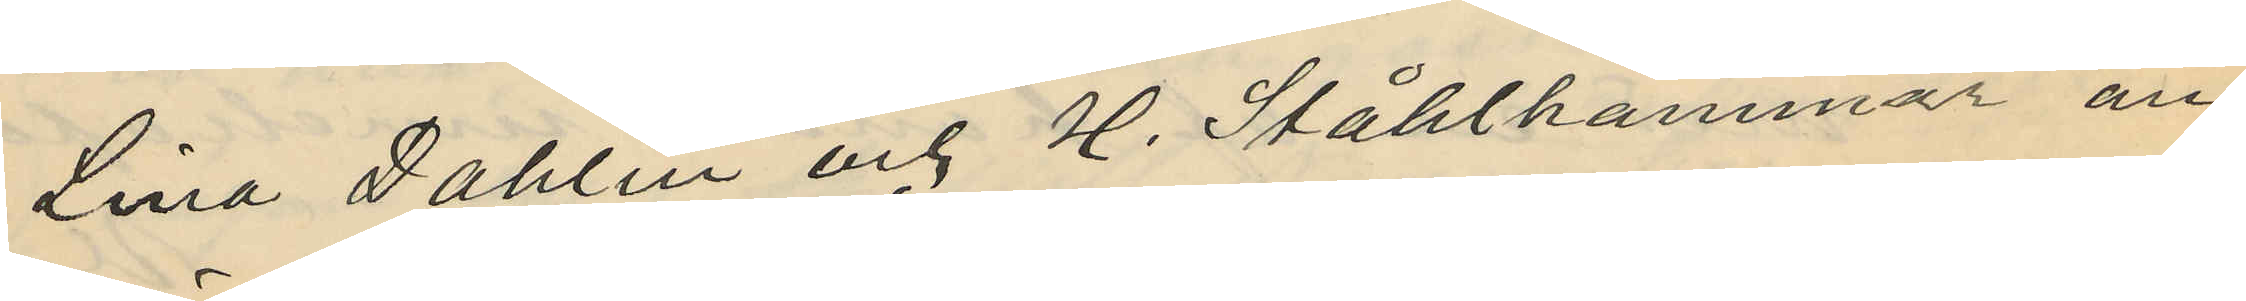Lina Dahlin och H. Ståhlhammar an¬
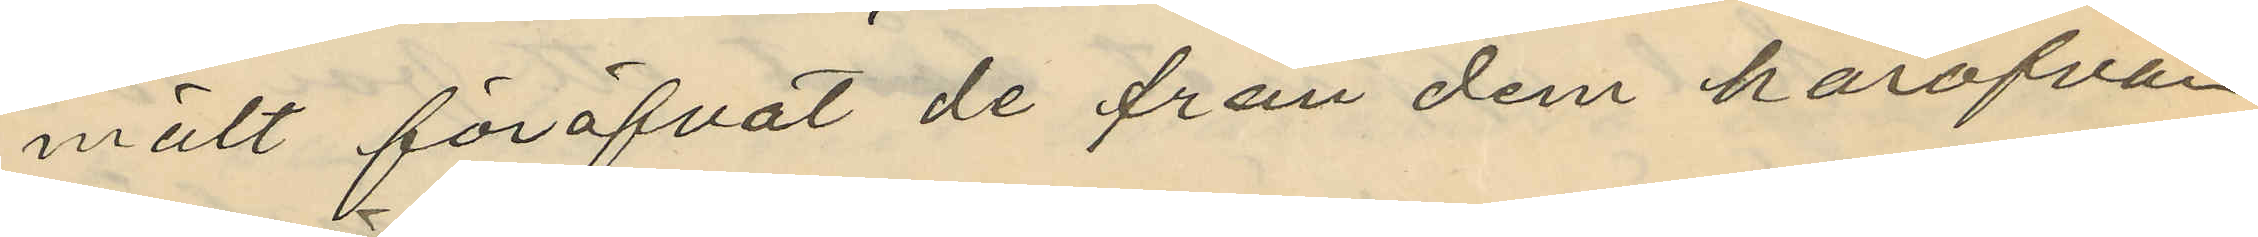mält föröfvat de från dem härofvan
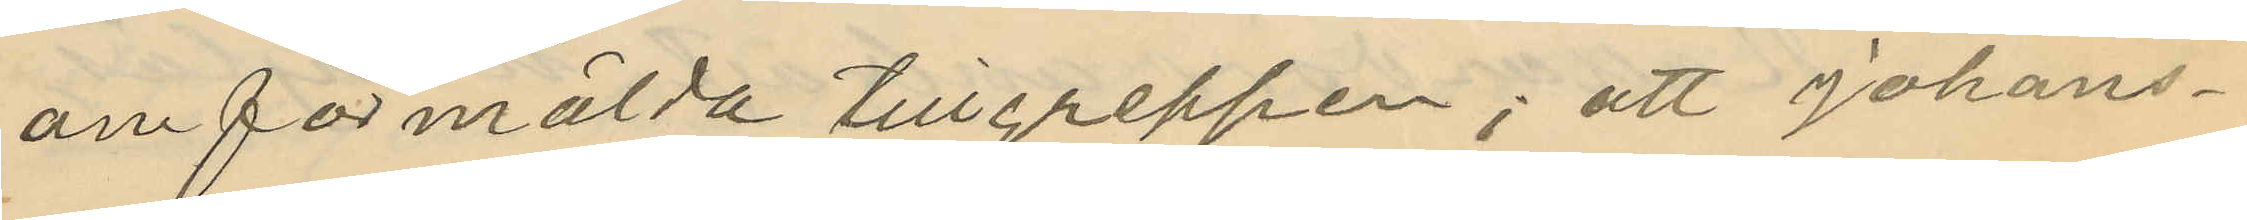om förmälda tillgreppen; att Johans¬
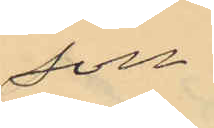son
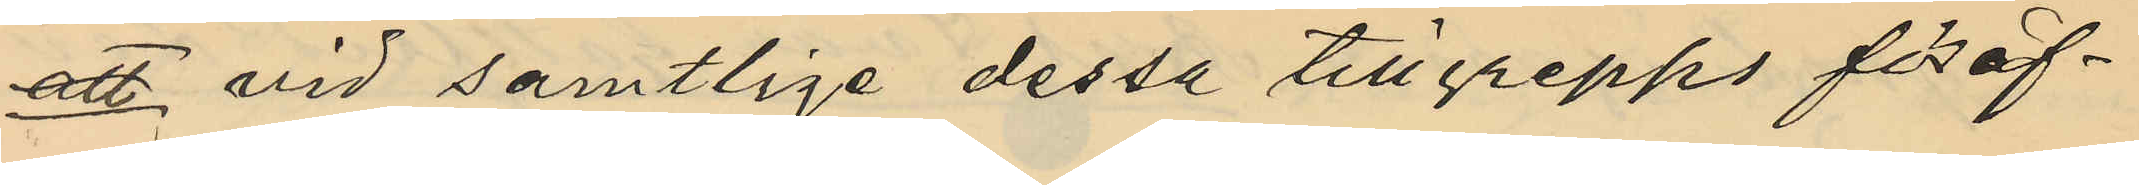att vid samtlige dessa tillgrepps föröf¬
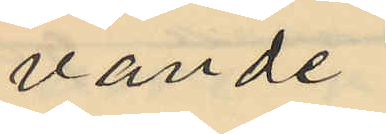vande
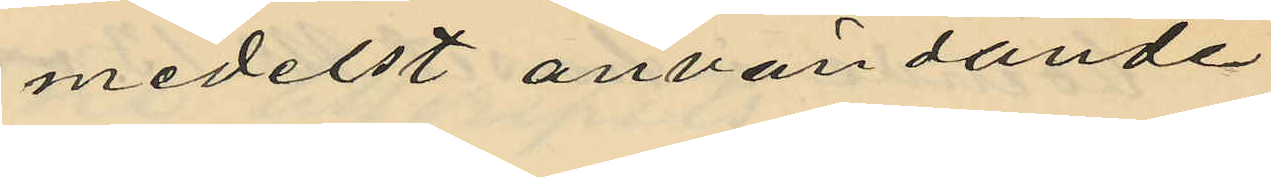medelst användande
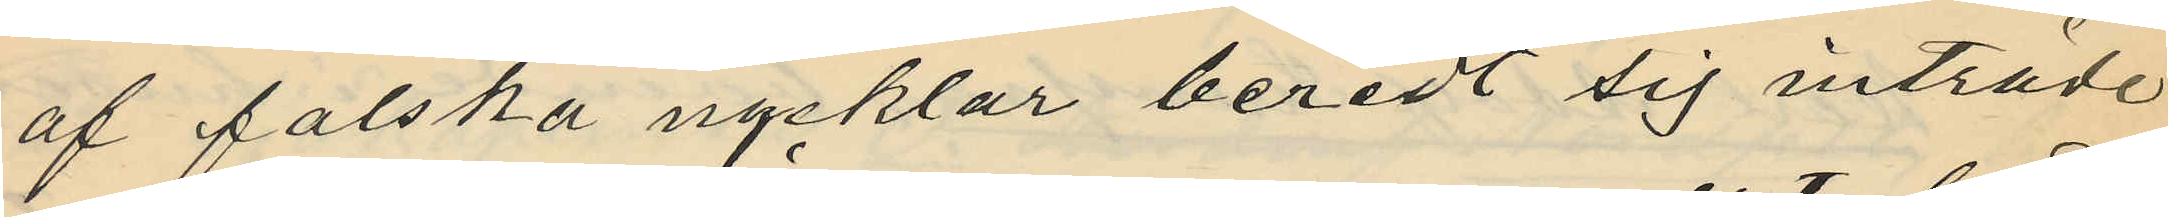af falska nycklar beredt sig inträde
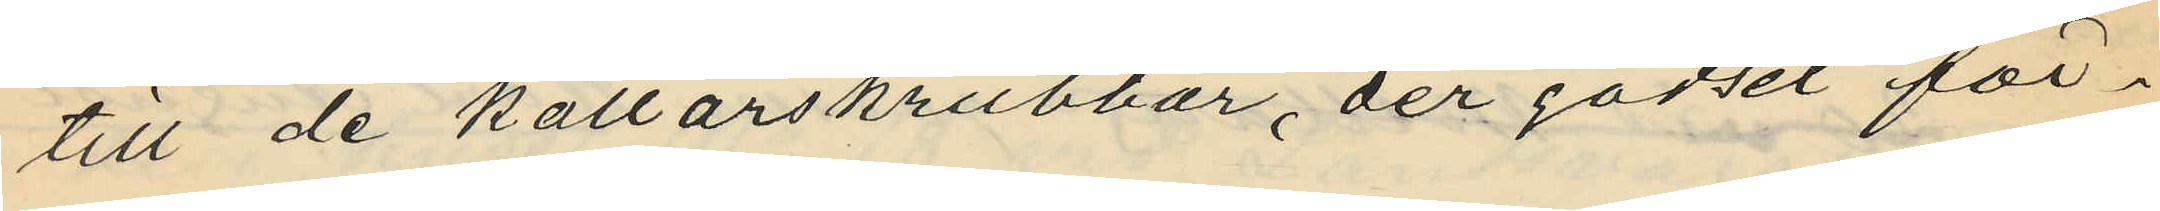till de källarskrubbar, der godset för¬
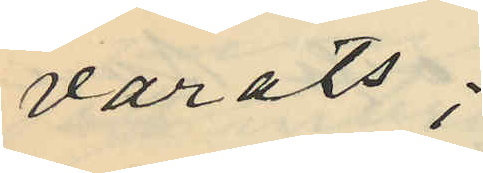varats:
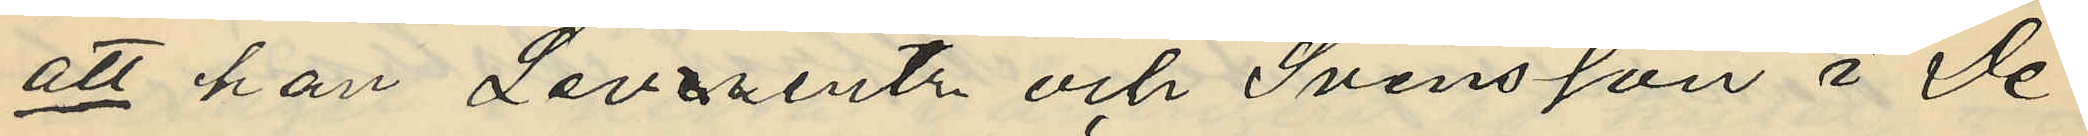att han Leverentz och Svensson i De¬
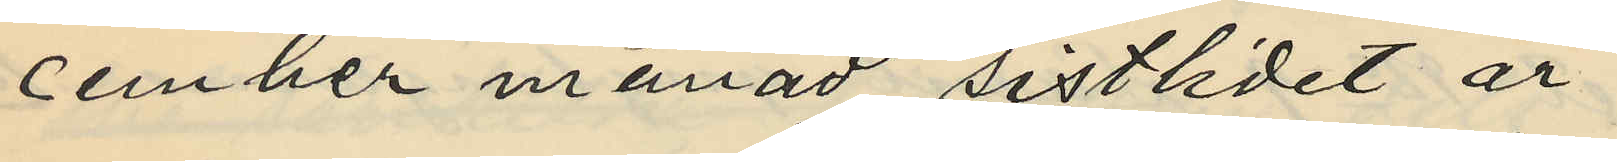cember månad sistlidet år
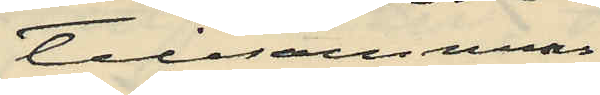tillsammas
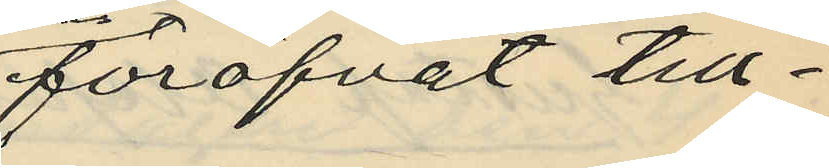föröfvat till¬
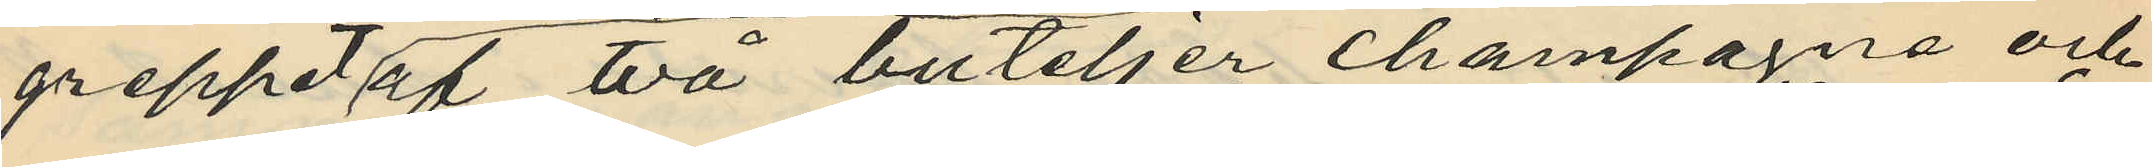greppet af två buteljer champagne och
